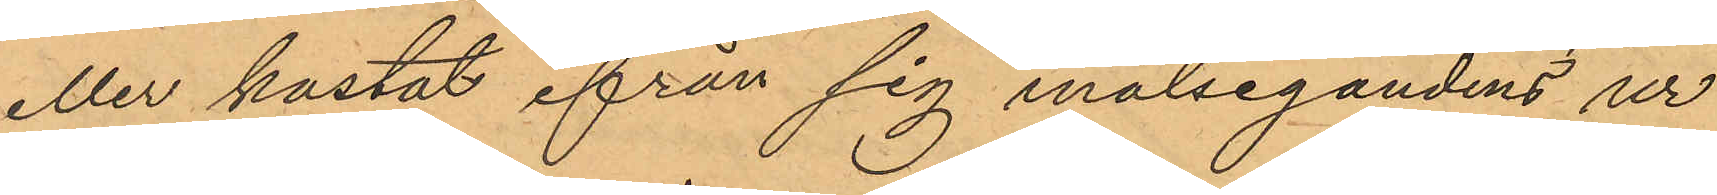eller kastat ifrån sig målsegandens ur
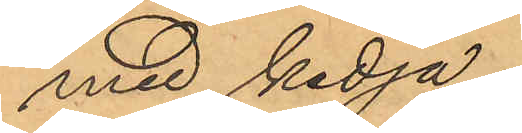med kedja.
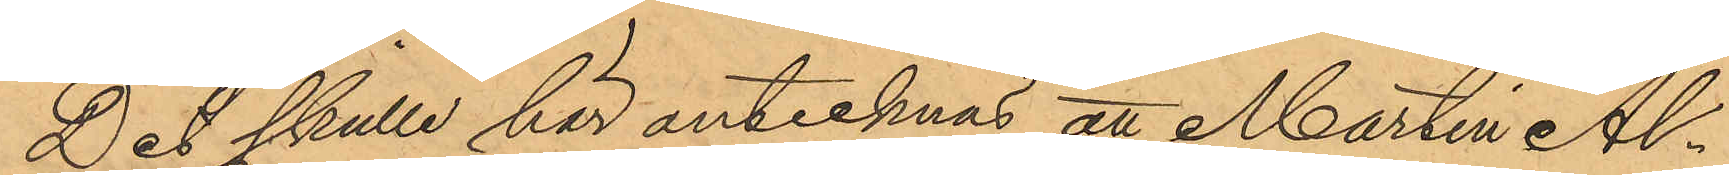Det skulle här antecknat att Martin Al¬
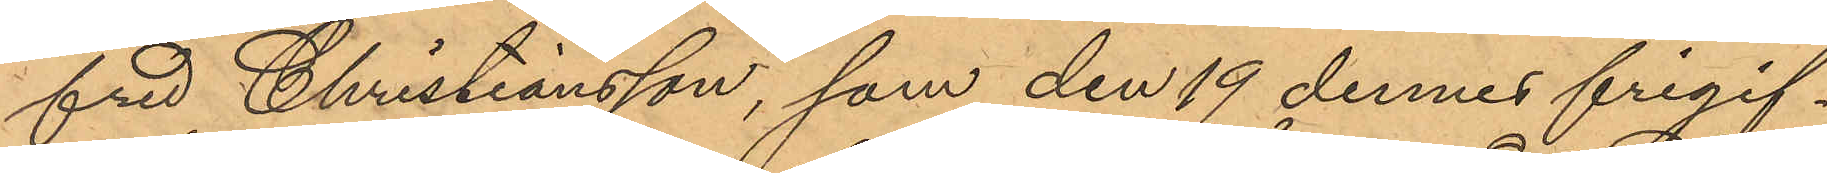fred Christiansson, som den 19 dennes frigif¬
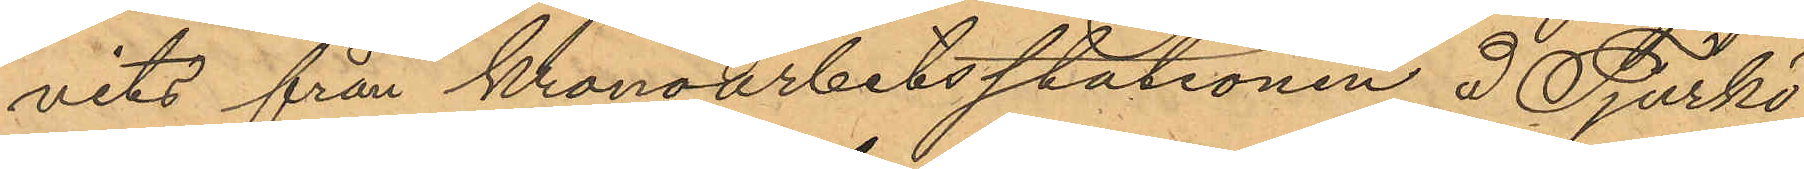vits från kronoarbetsstationen I Tjurkö
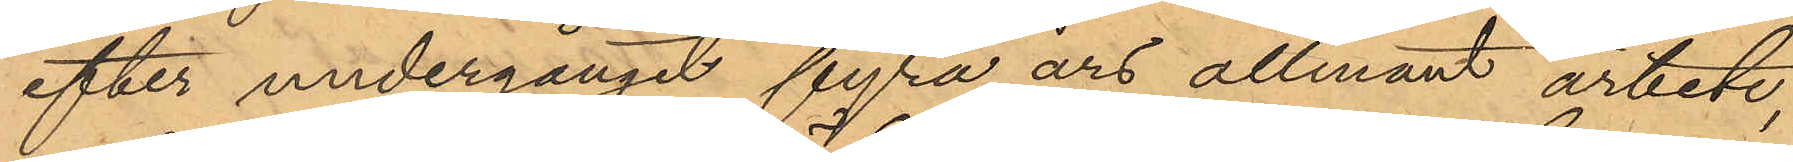efter undergånget fyra års allmänt arbete,
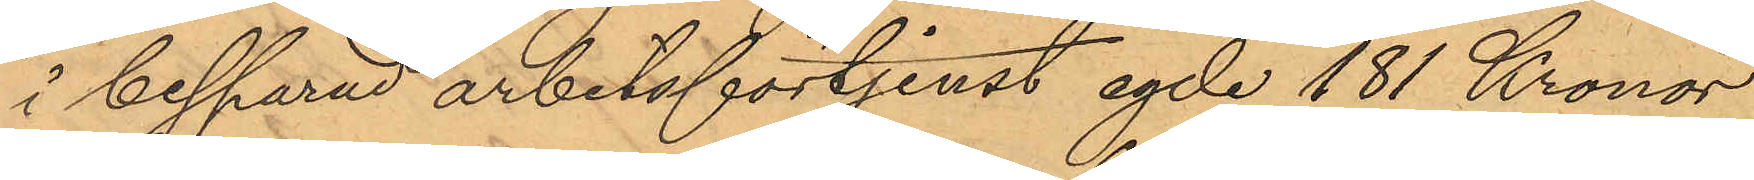i besparad arbetsförtjenst egde 181 Kronor
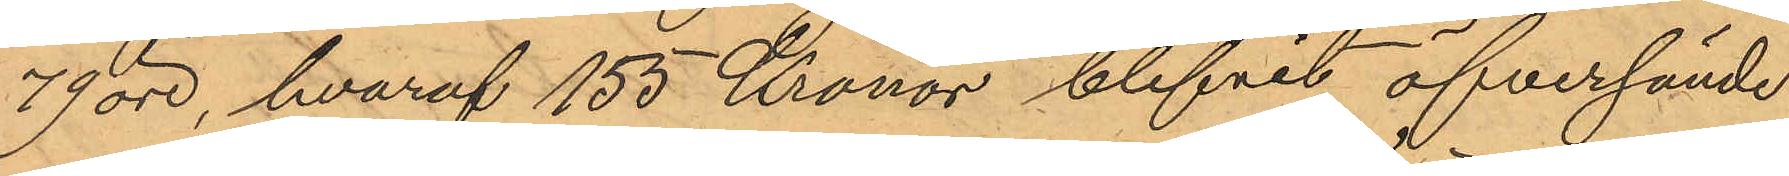79 öre, hvaraf 155 Kronor blifvit öfversände
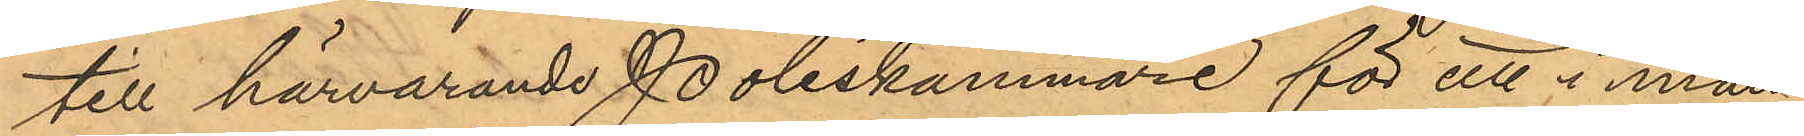till härvarande Poliskammare för att i mån
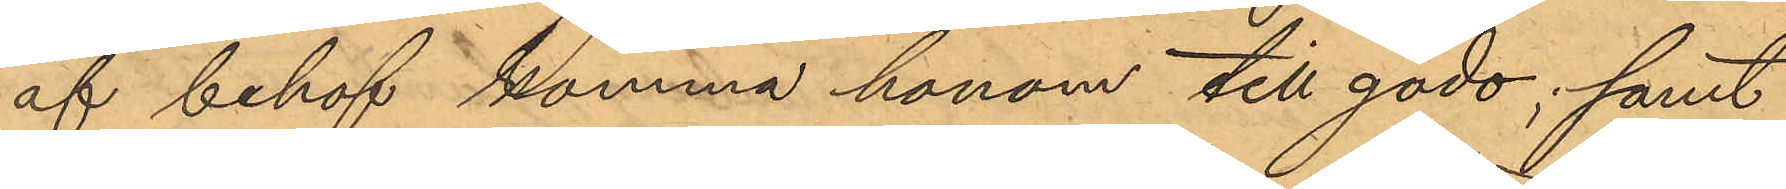af behof komma honom till godo; samt
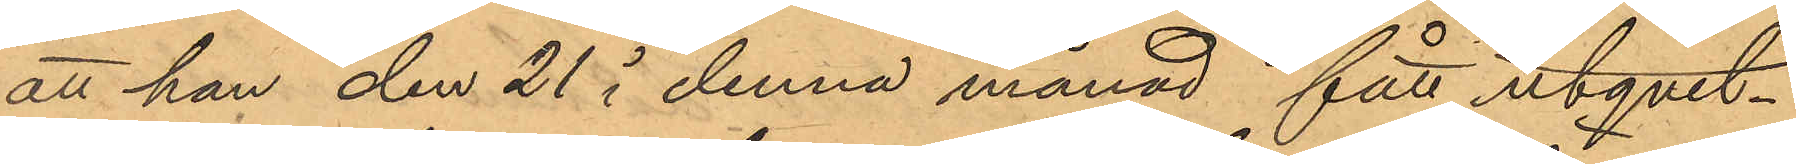att han den 21 i denna månad fått utqvit¬
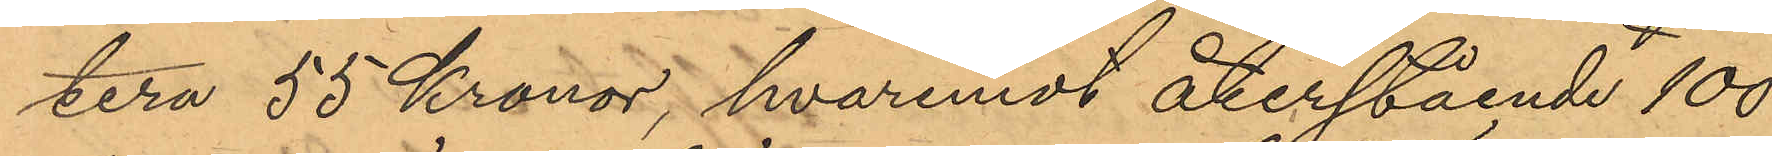tera 55 Kronor, hvaremot återstående 100
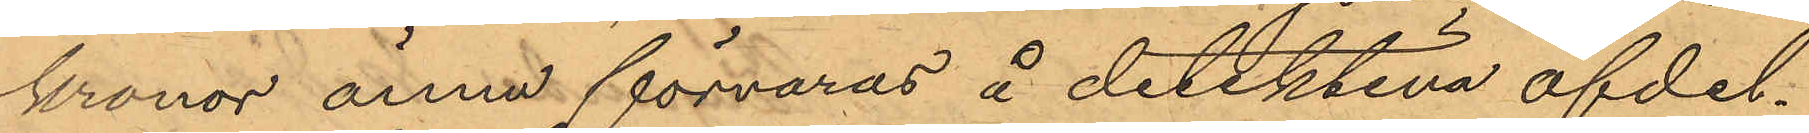kronor ännu förvaras å detektiva afdel¬
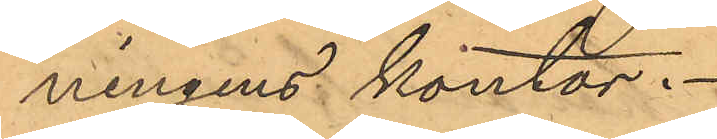ningens kontor.
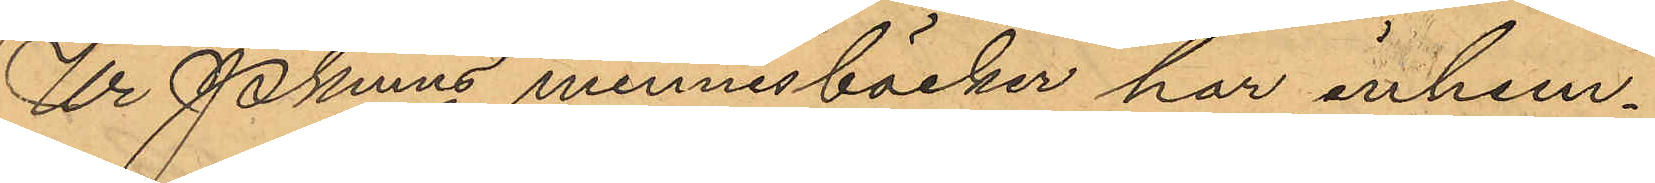Ur Pkmns minnesböcker har inhem¬
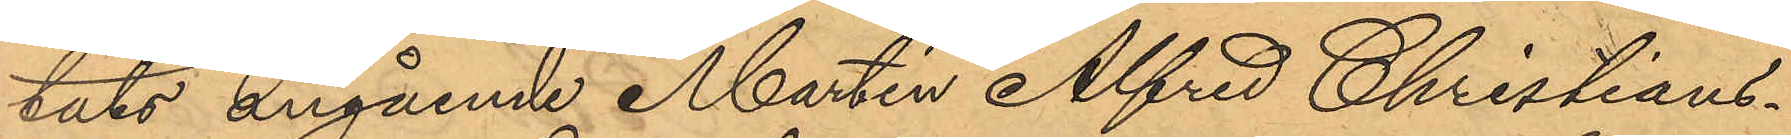tats angående Martin Alfred Christians¬
